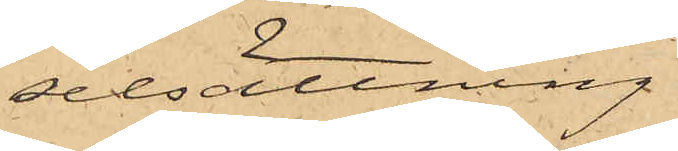selsättning.
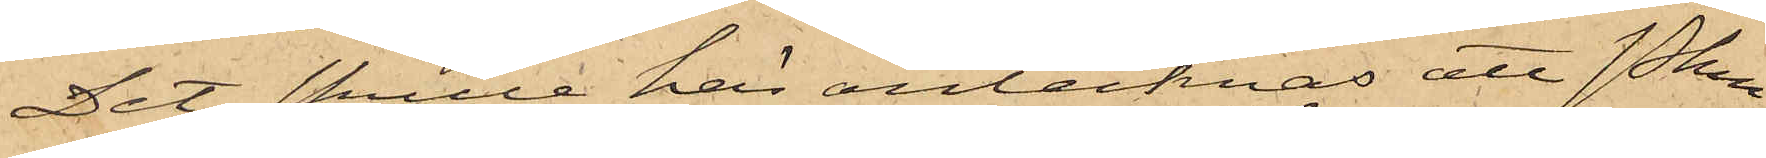Det skulle här antecknas att Pkn
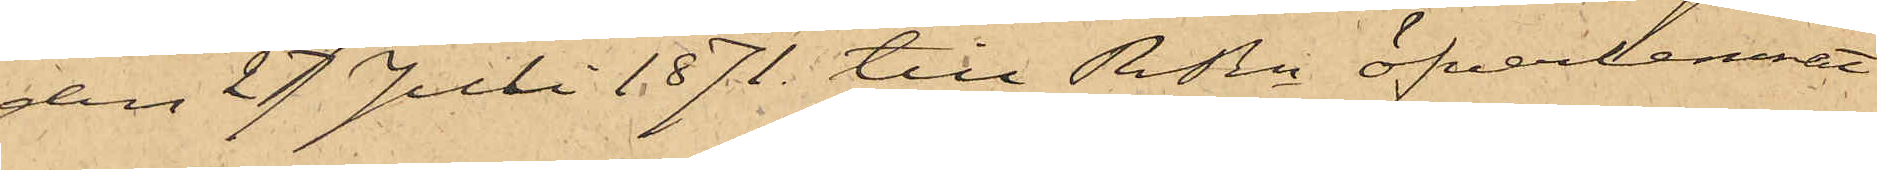den 27 Juli 1871 till RRn öfverlemnat
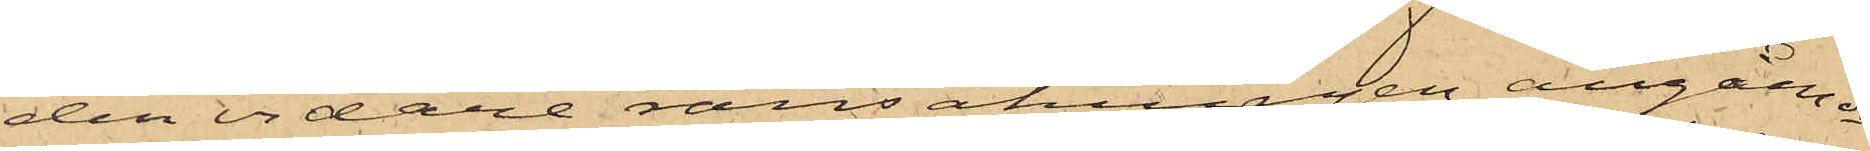den vidare ransakningen angående
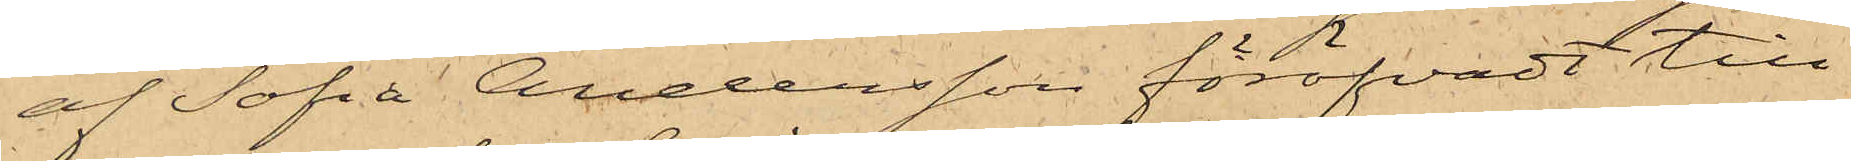af Sofia Andersson föröfvadt till¬
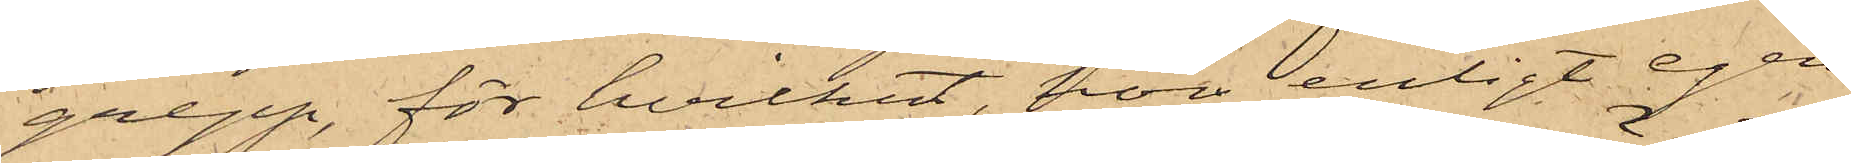grepp, för hvilket, hon enligt egen
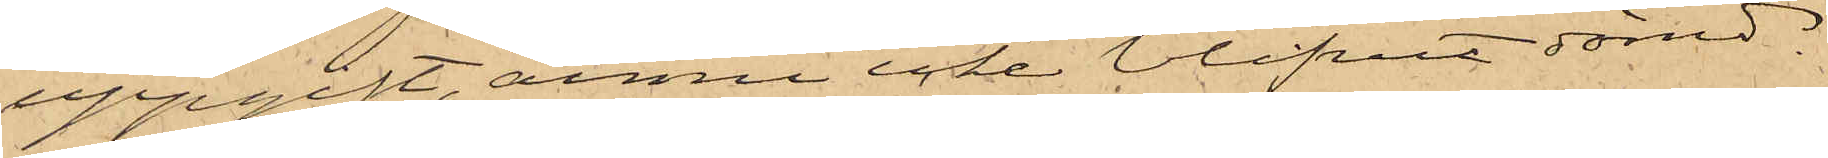uppgift, ännu icke blifvit dömd.
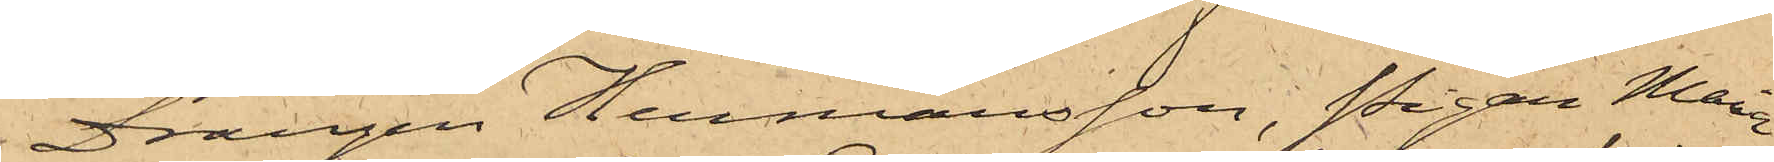Drängen Hermansson, Pigan Maria
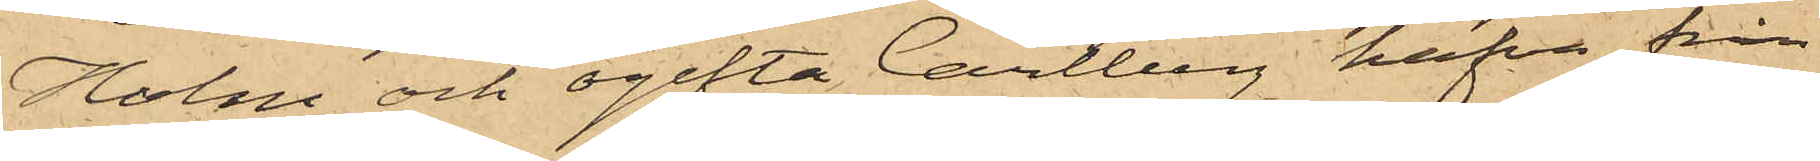Holm och ogifta Carlberg hafva från
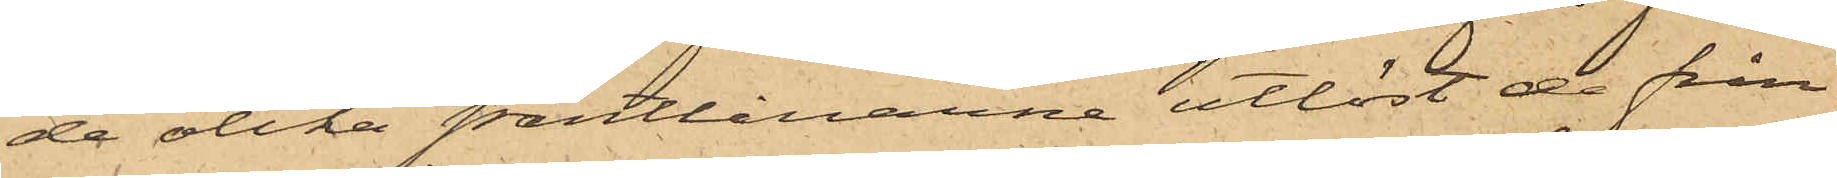de olika pantlånarne utlöst de från
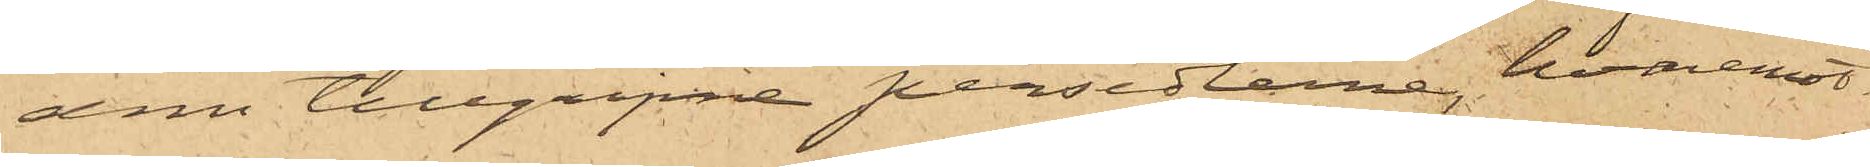dem tillgripne persedlarne, hvaremot
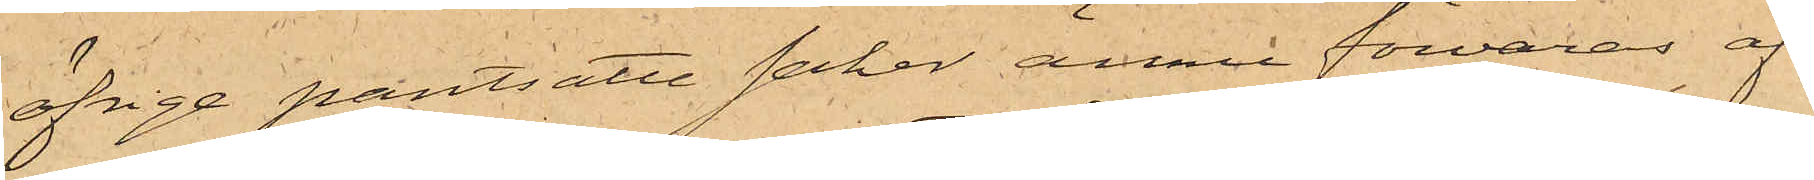öfrige pantsatte saker ännu förvaras af
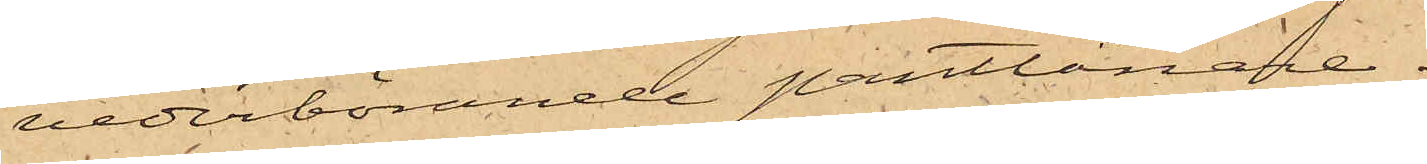vederbörande pantlånare.
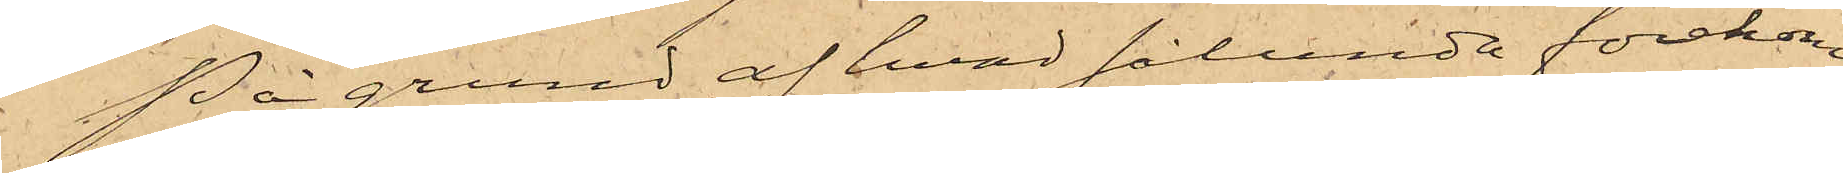På grund af hvad sålunda förekom¬
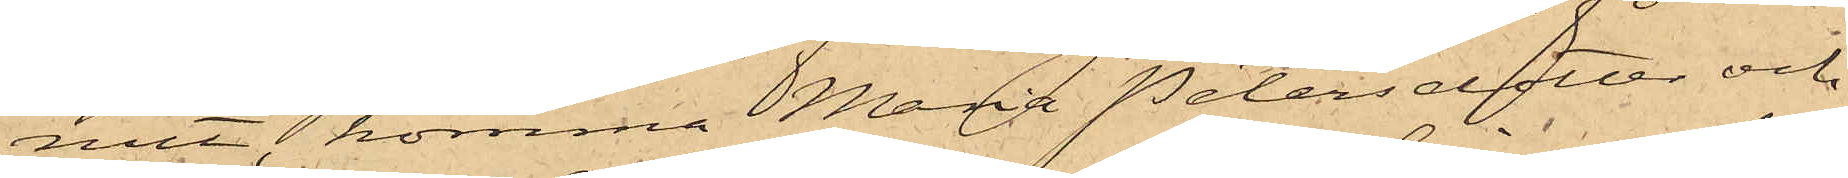mit, komma Maria Petersdotter och
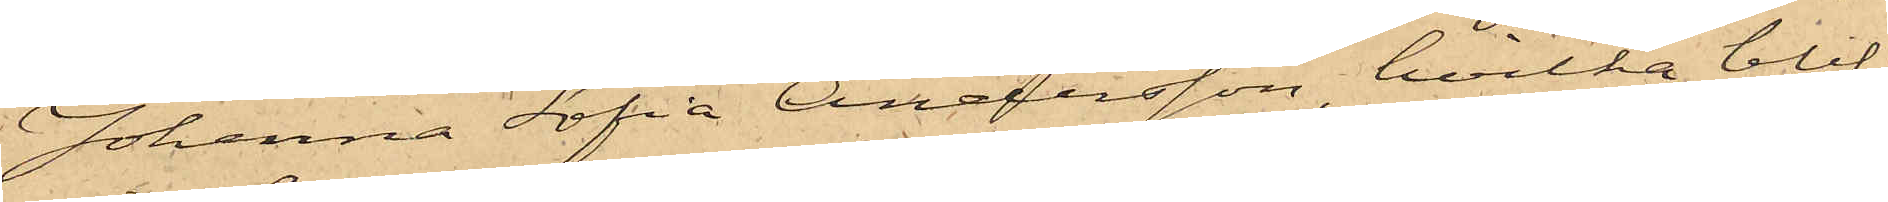Johanna Sofia Andersson, hvilka blif¬
